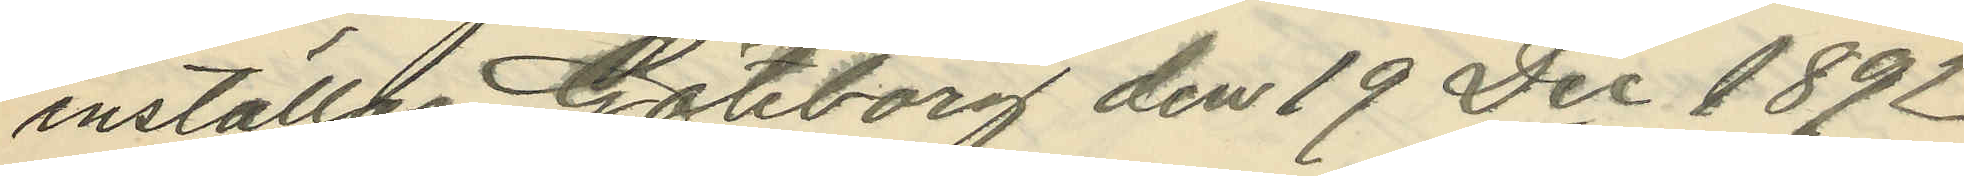inställas Göteborg den 19 Dec 1892.
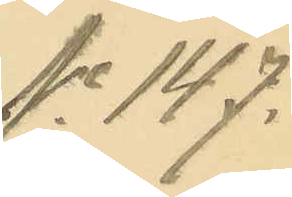No 147.
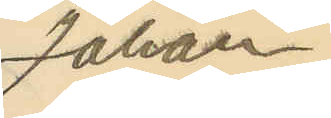Johan
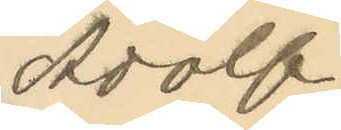Adolf
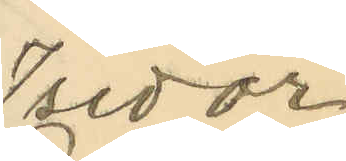Isidor
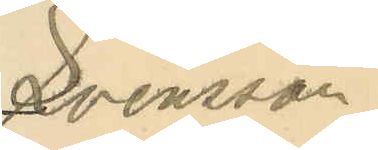Svensson
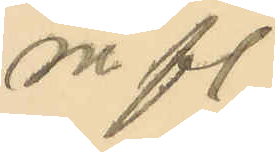m fl.
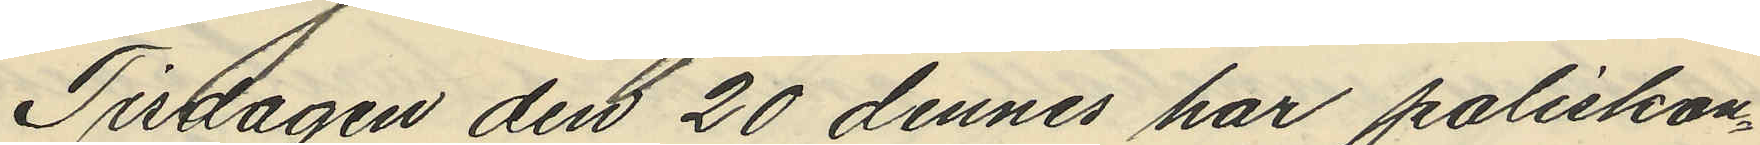Tisdagen den 20 dennes har poliskon¬
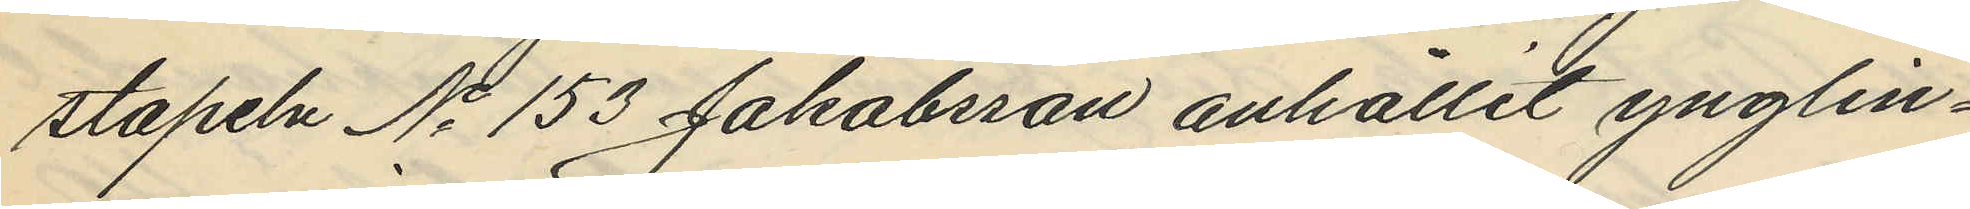stapeln No 153 Jakobsson anhållit ynglin¬
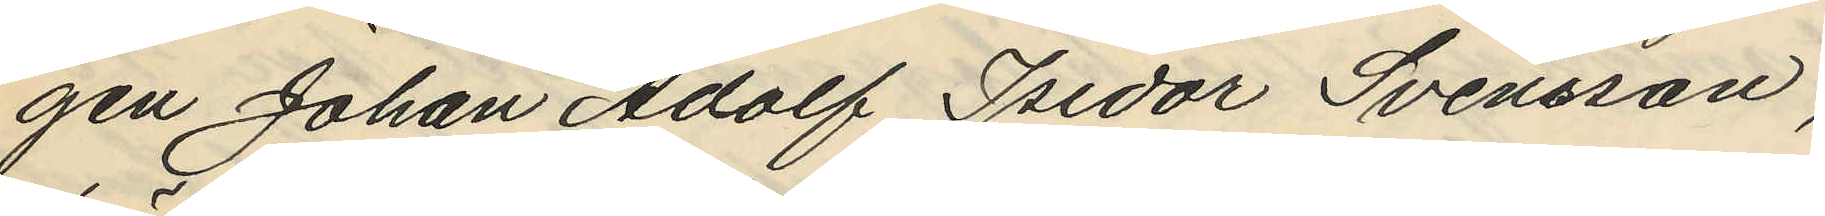gen Johan Adolf Isidor Svensson,
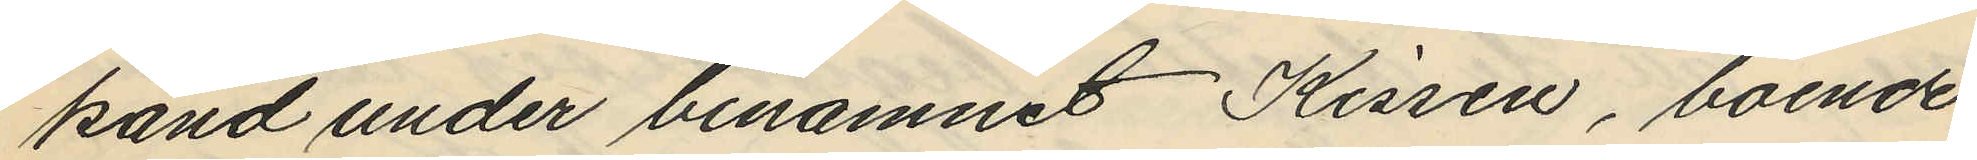känd under binamnet Kissen, boende
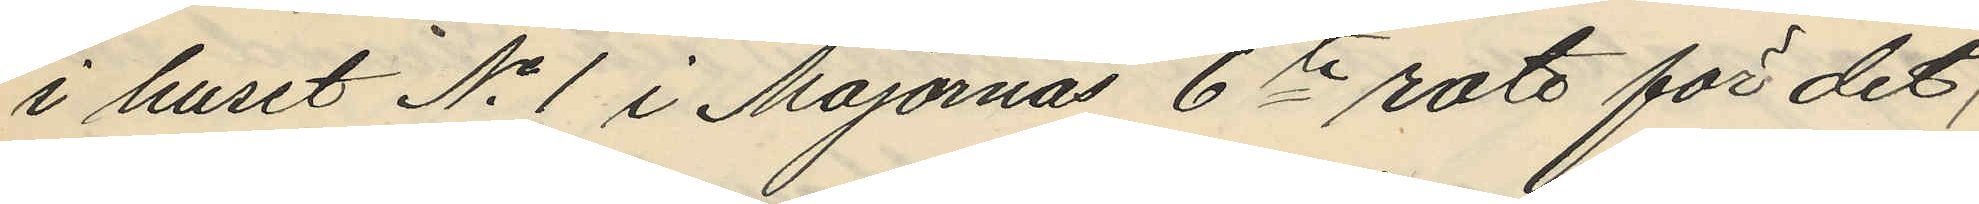i huset No 1 i Majornas 6te rote för det;
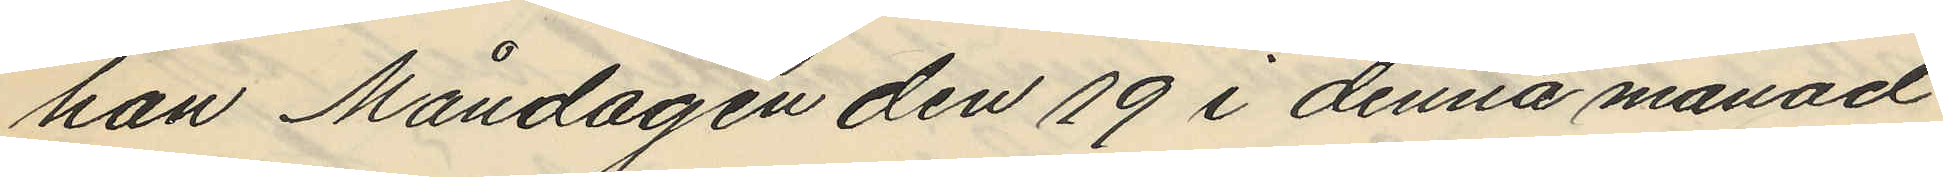han Måndagen den 19 i denna månad
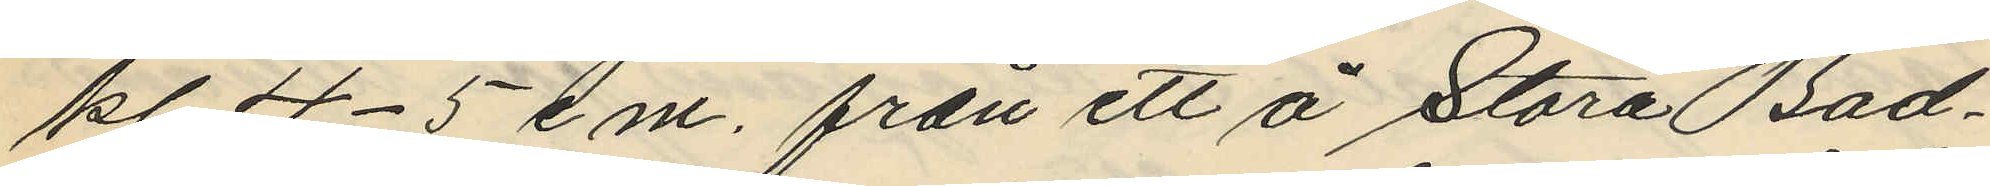kl 4-5 e.m. från ett å Stora Bad¬
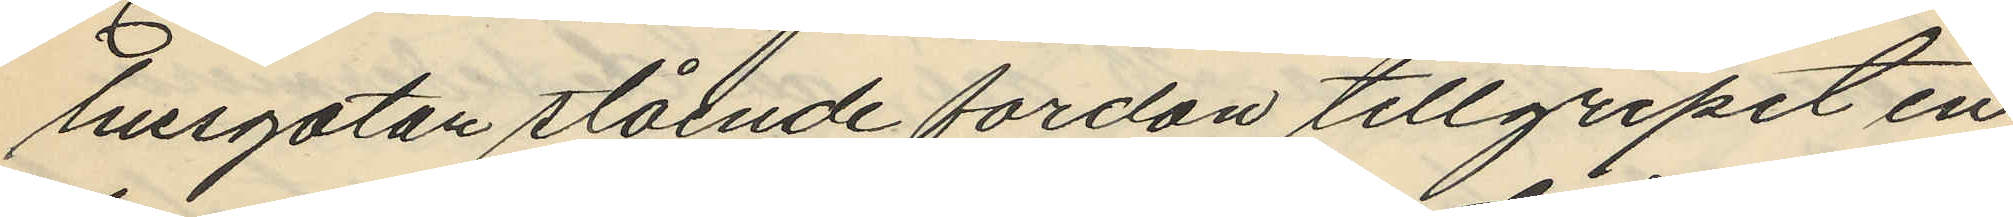husgatan stående fordon tillgripit en
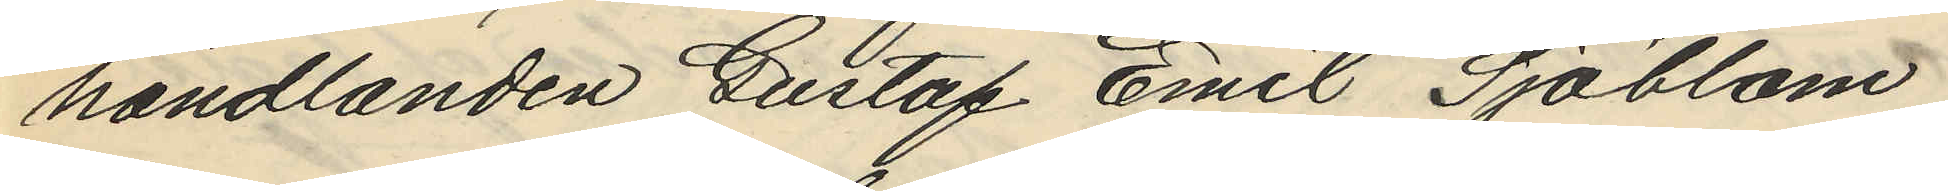handlanden Gustaf Emil Sjöblom
